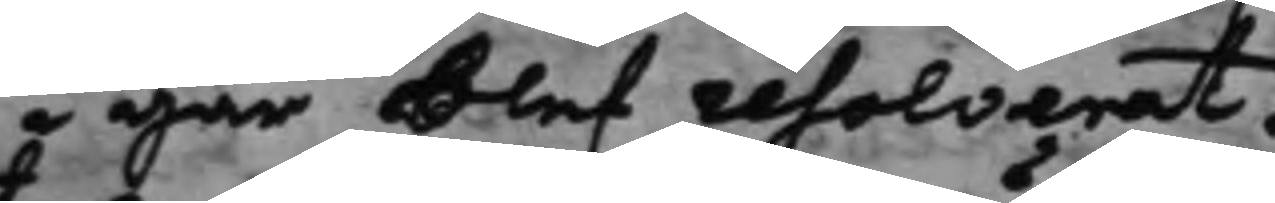i går blef resolverat.
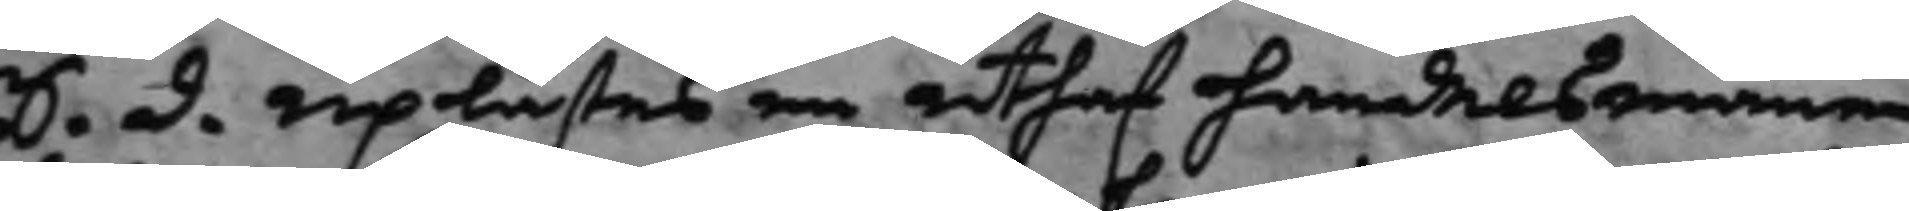S. d. Uplästes en uthaf handelsmannen
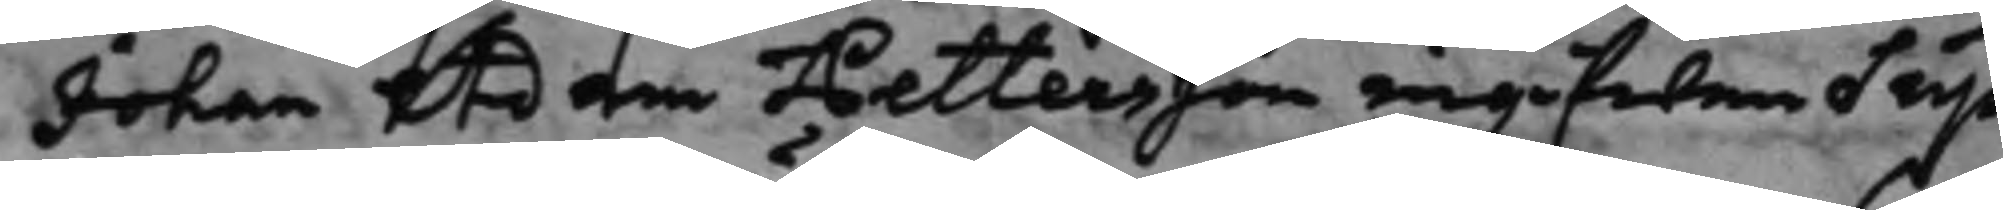Johan Adam Pettersson ingifwen Sup¬
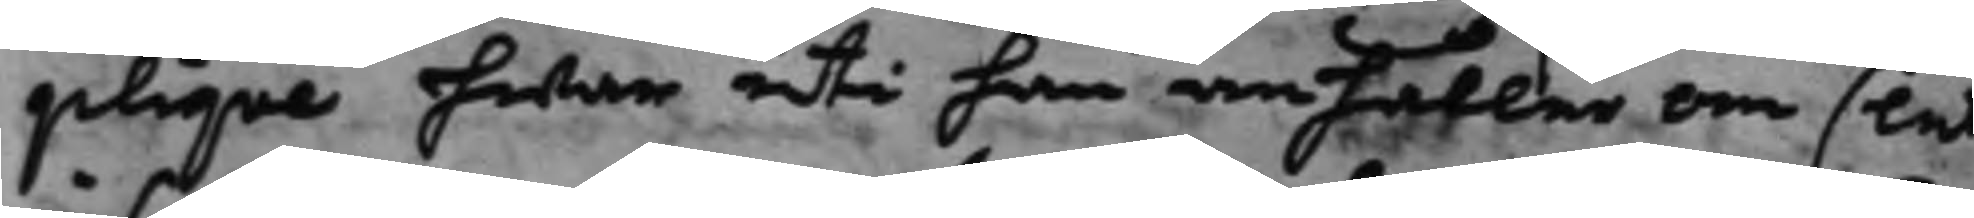plique hwar uti han anhåller om slut
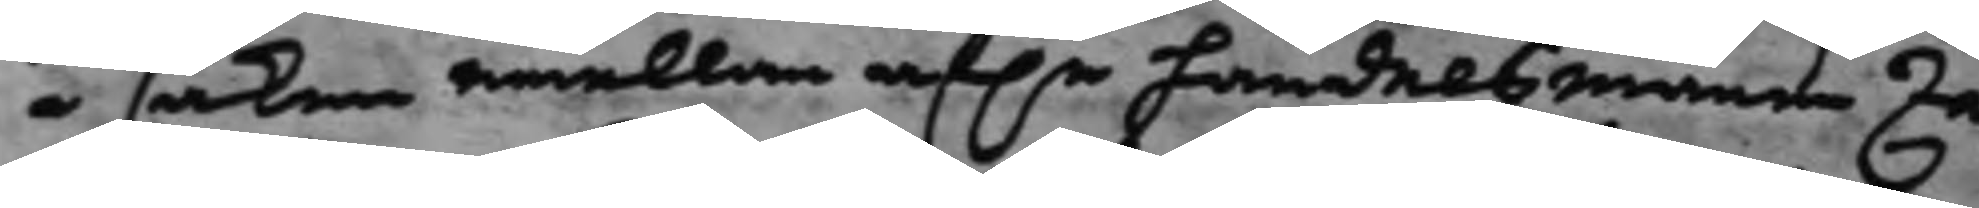i saken emellan af.e Handelsmann Za¬ 
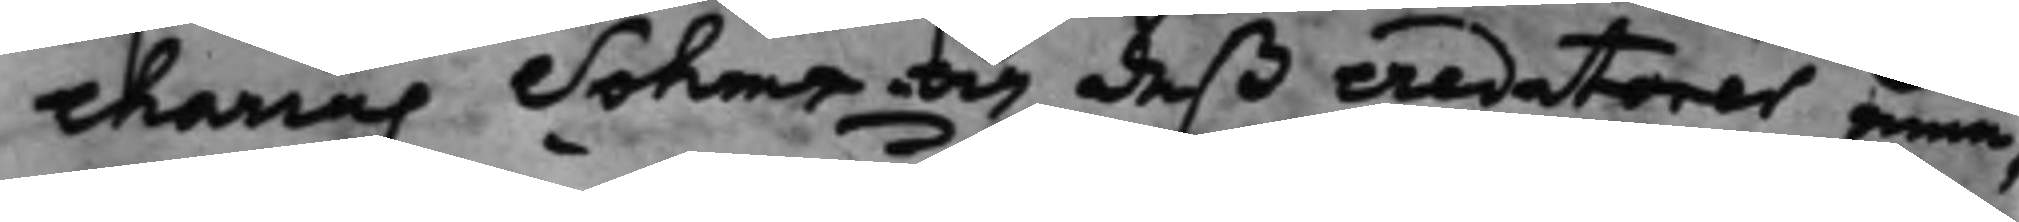charias Sohms och deß credetorer eme¬
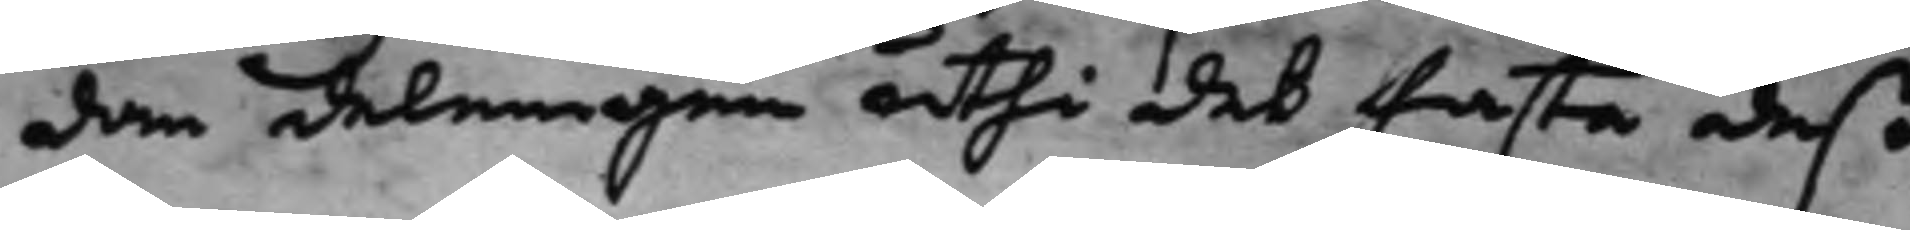dan delningen uthi des fasta deß¬
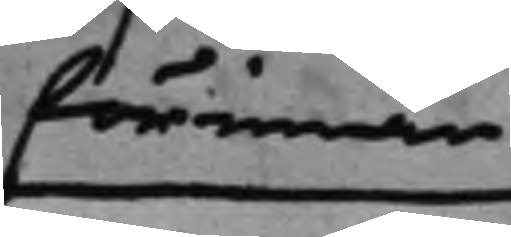förinnan
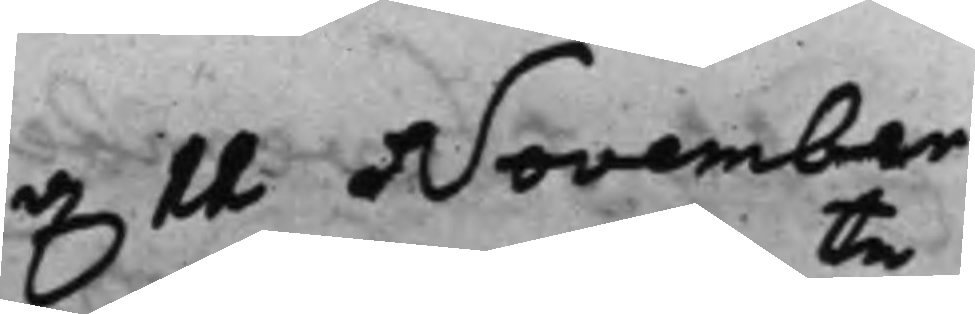d, 11 November
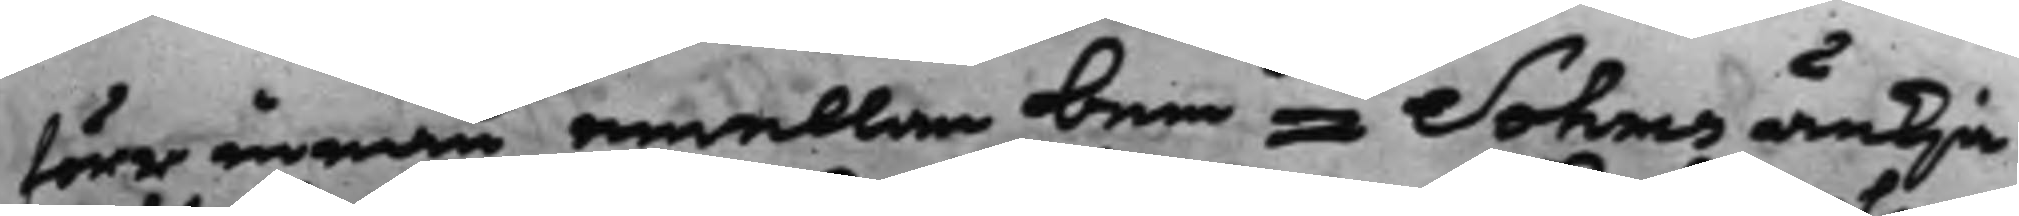förrinnan emellan bemte Sohms änkia
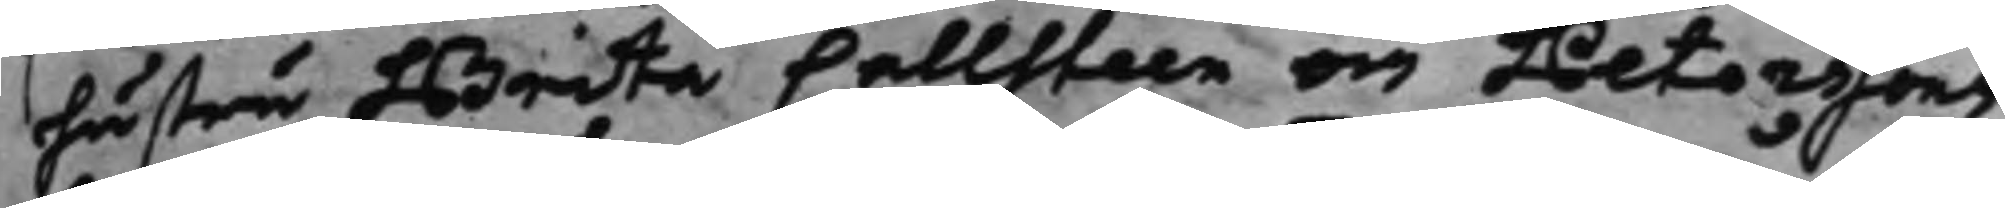hustru Brita Callsteen om Peterssons
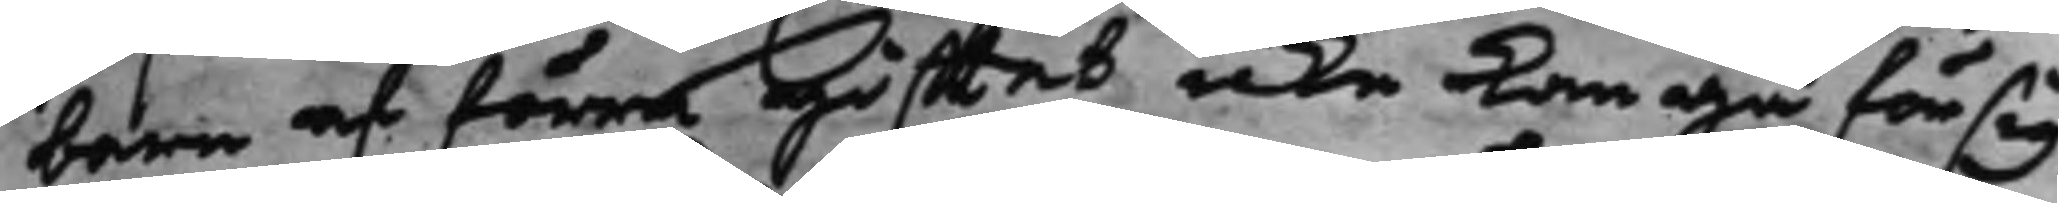barn af förra gifftet icke kan gå för sig,
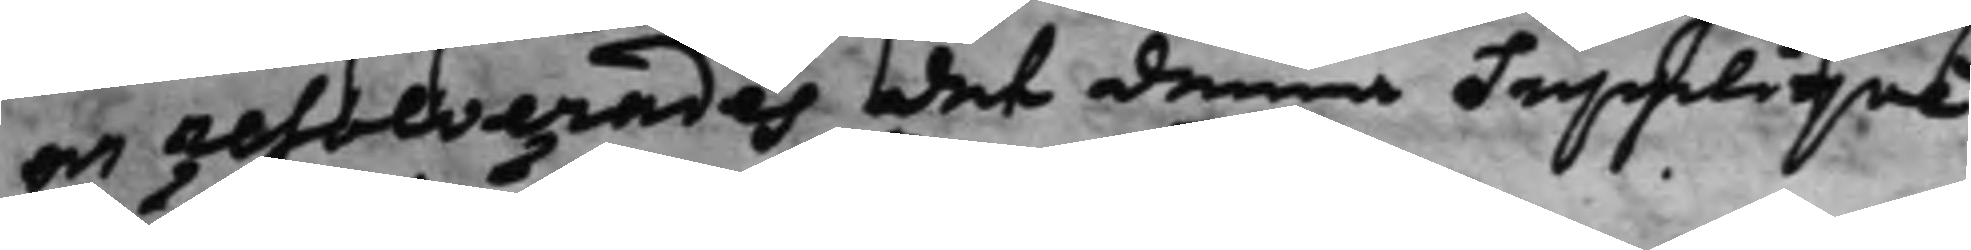och resolverades det denna Supplique
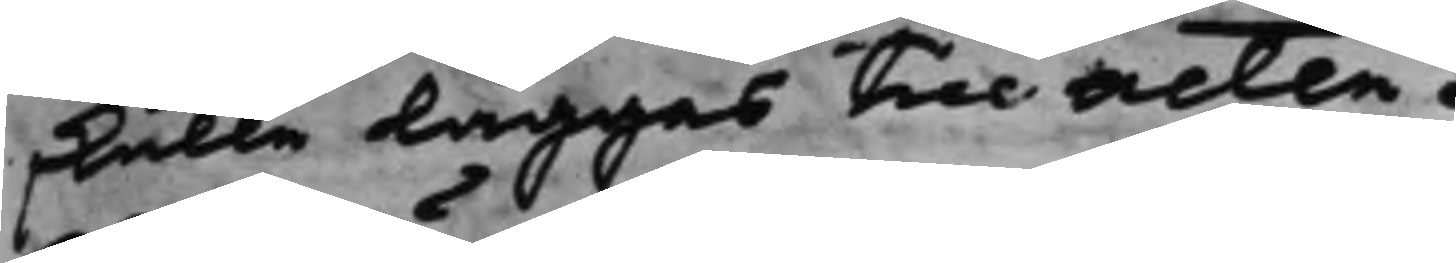skulle läggas till acten.
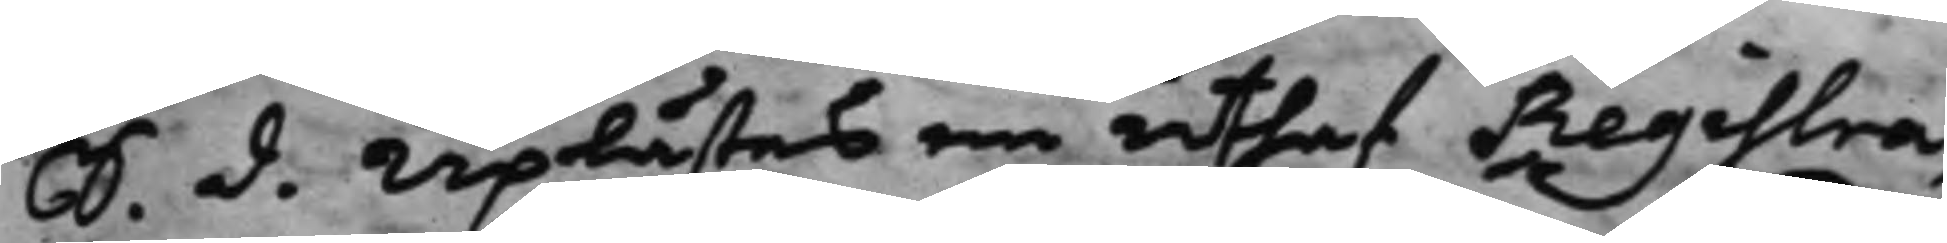S. d. Uplästes en uthaf Registra¬
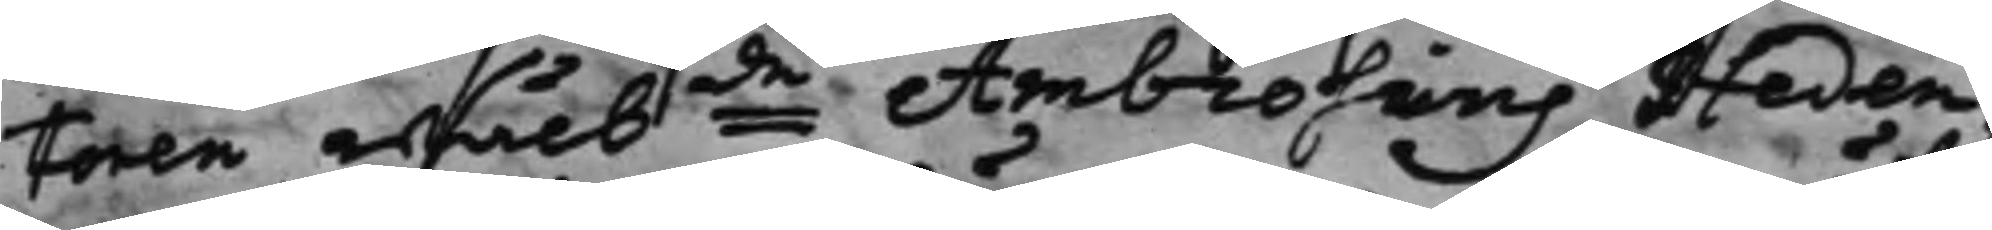toren Wälbde Ambrosius Heden¬
